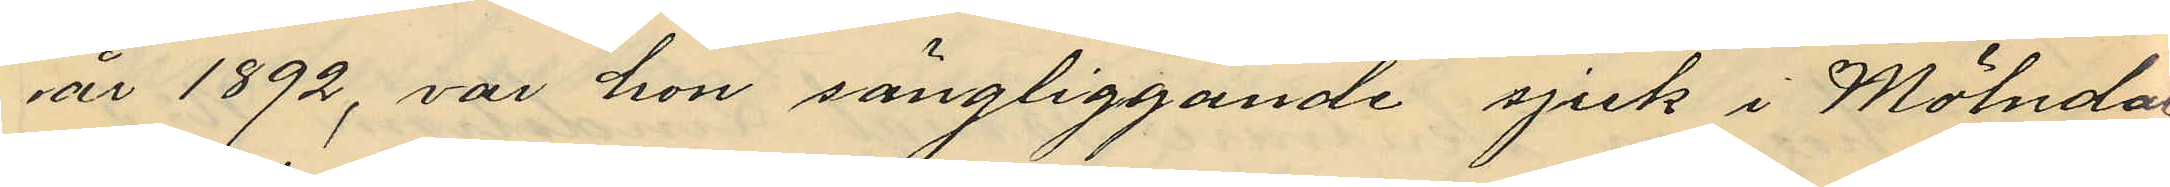år 1892, var hon sängliggande sjuk i Mölndal,
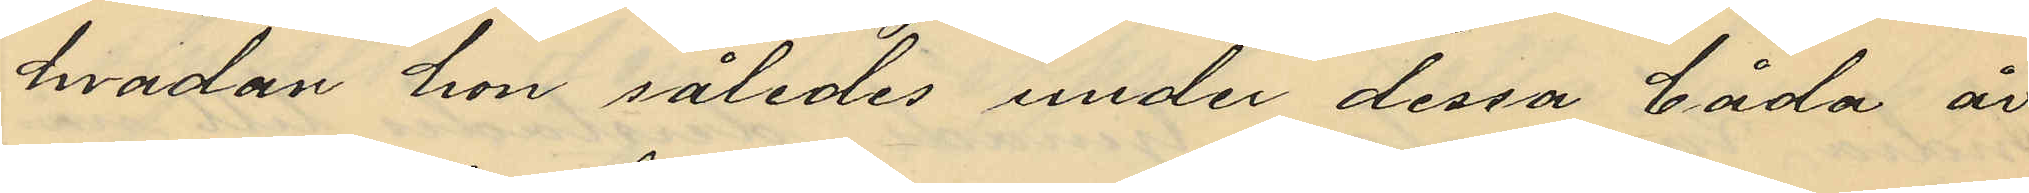hvadan hon således under dessa båda år
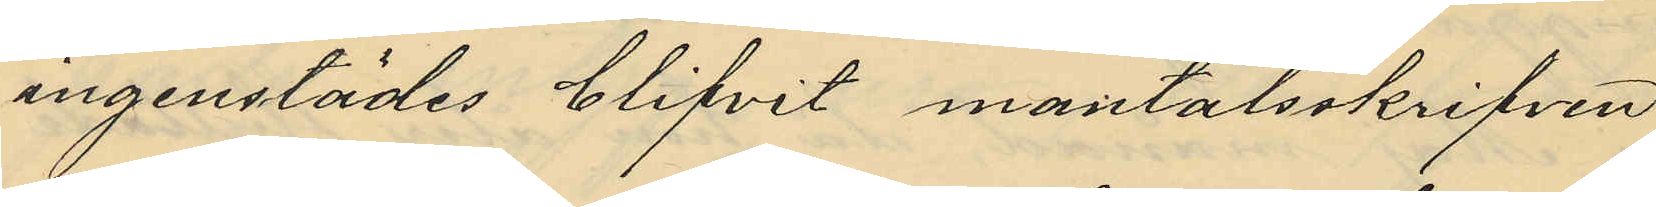ingenstädes blifvit mantalsskrifven.
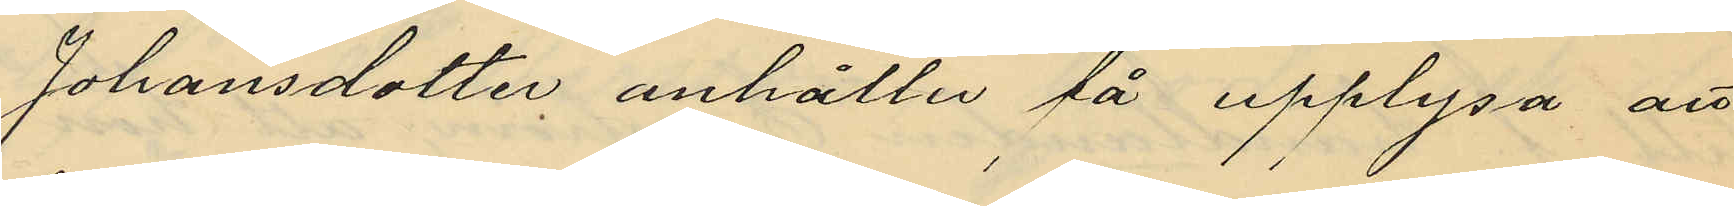Johansdotter anhåller få upplysa att
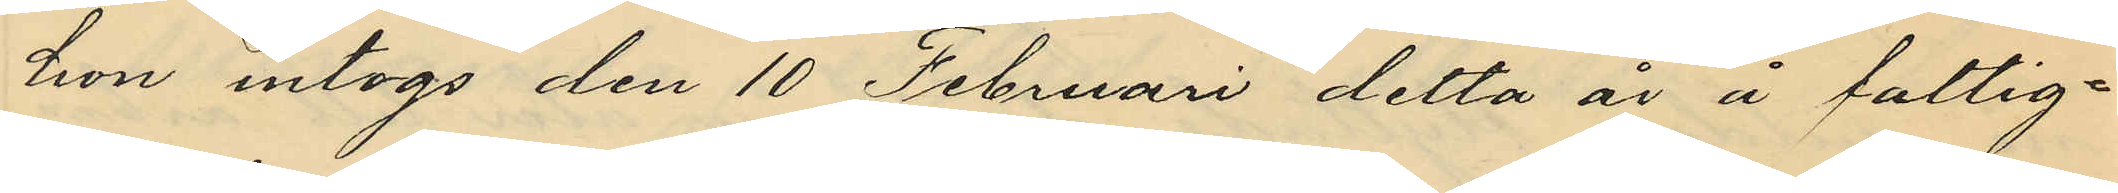hon intogs den 10 Februari detta år å fattig¬
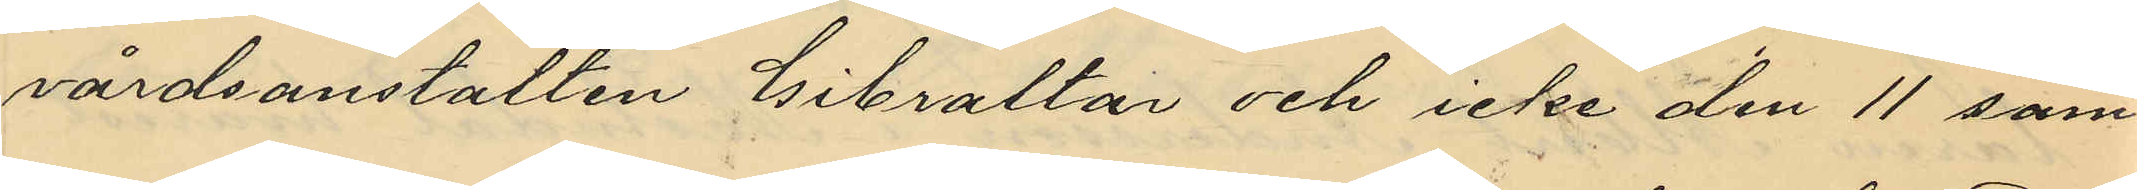vårdsanstalten Gibraltar och icke den 11 sam¬
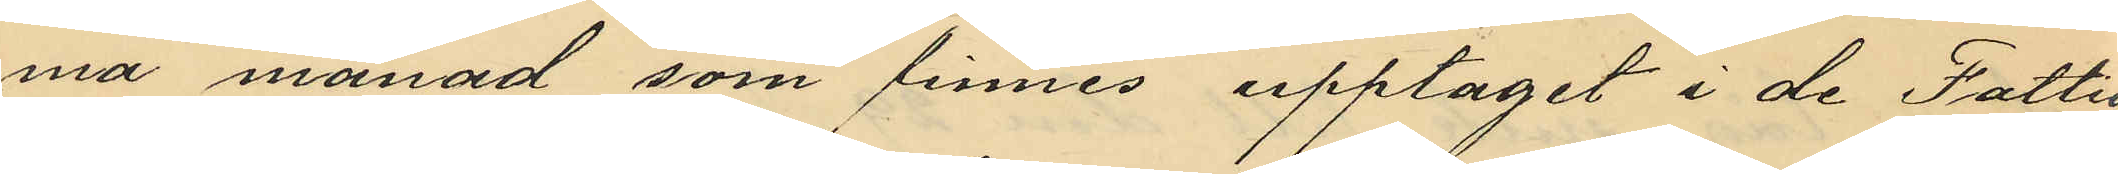ma månad som finnes upptaget i de Fattig¬
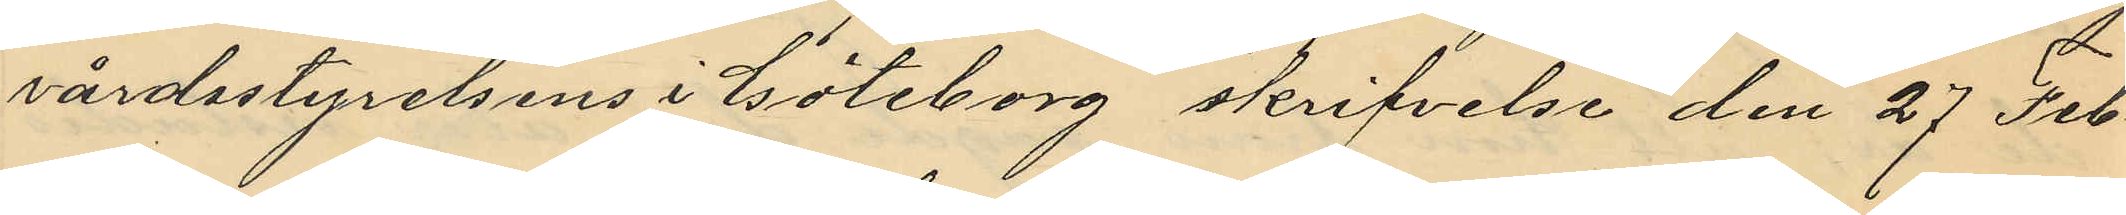vårdsstyrelsens i Göteborg skrifvelse den 27 Feb¬
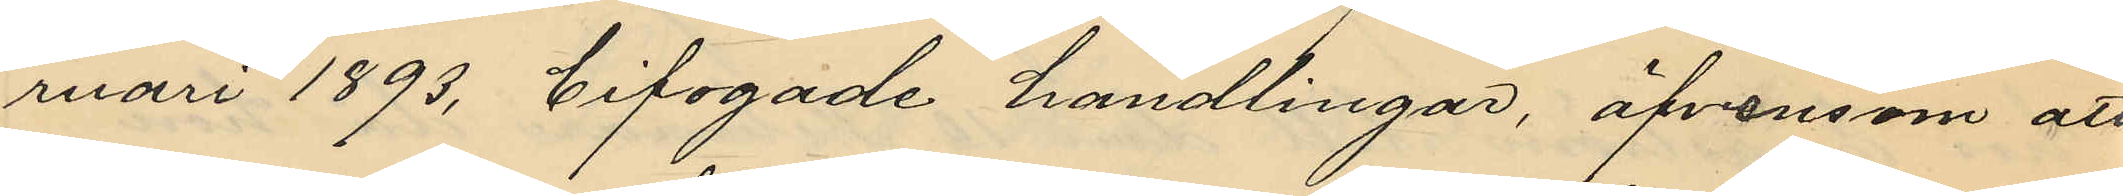ruari 1893, bifogade handlingar, äfvensom att
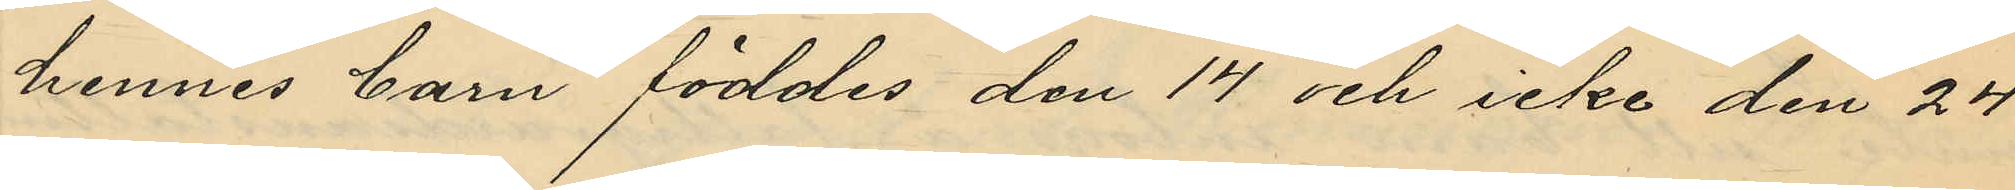hennes barn föddes den 14 och icke den 24
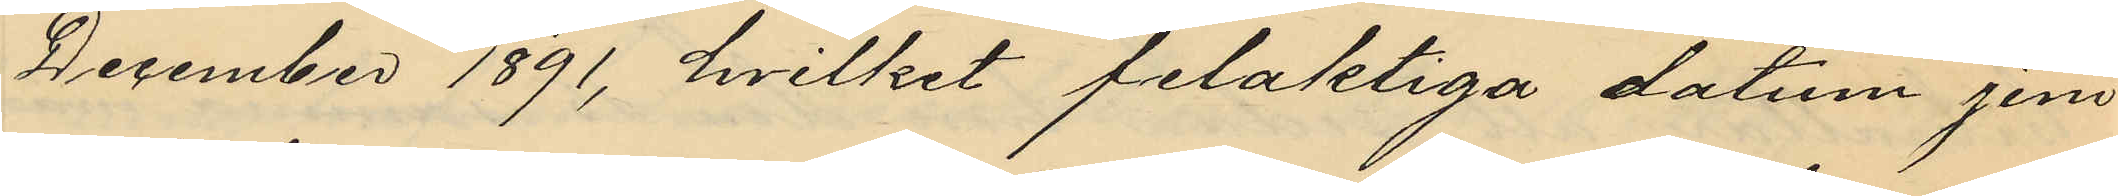December 1891, hvilket felaktiga datum jem¬
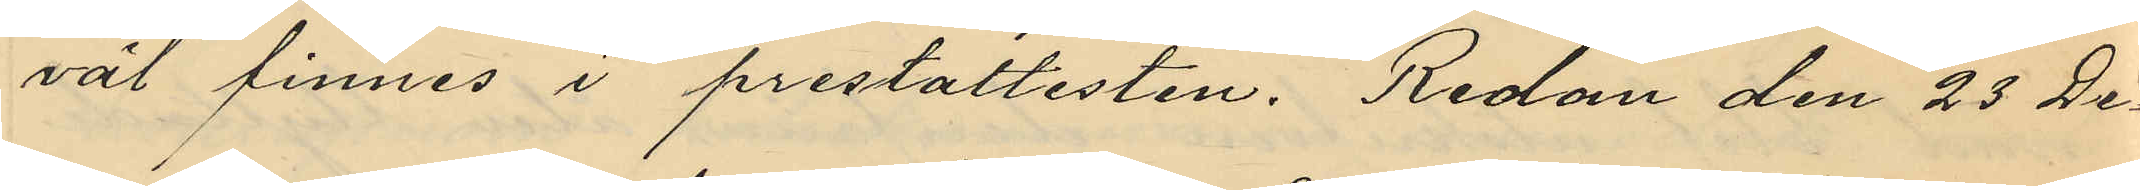väl finnes i prestattesten. Redan den 23 De¬
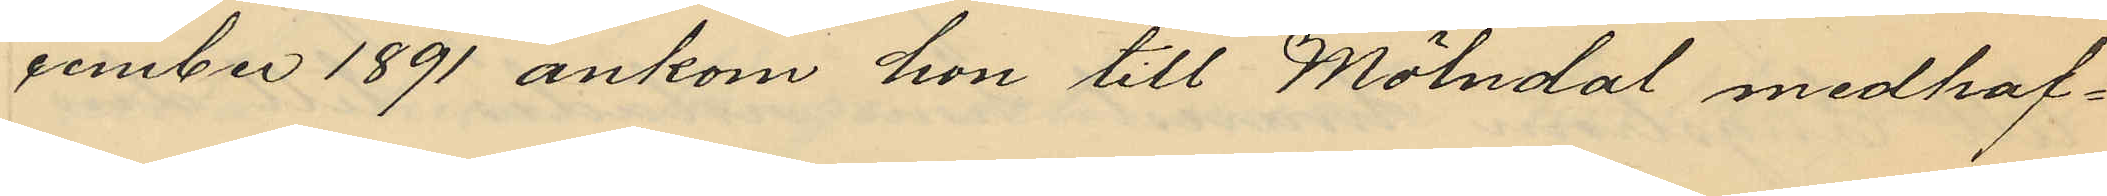cember 1891 ankom hon till Mölndal medhaf¬
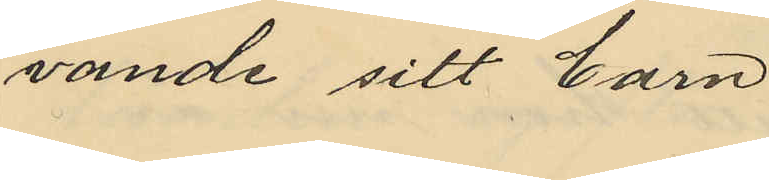vande sitt barn.
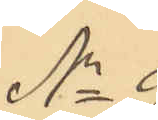No 9.
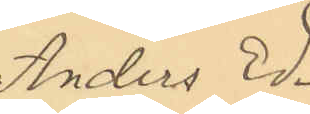Anders Ed¬
